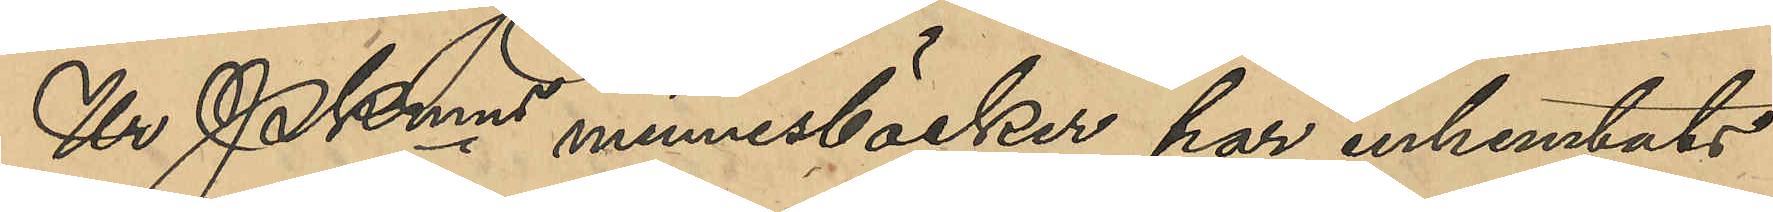Ur PKmns minnesböcker har inhemtats
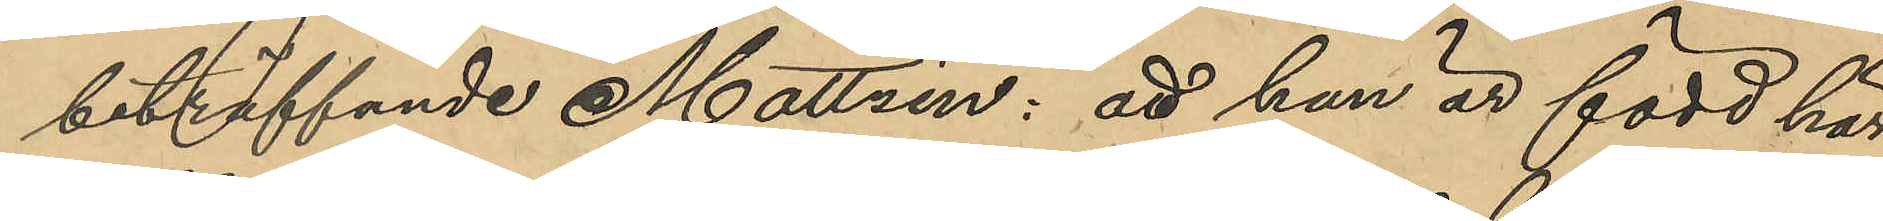beträffande Mattzén: att han är född här
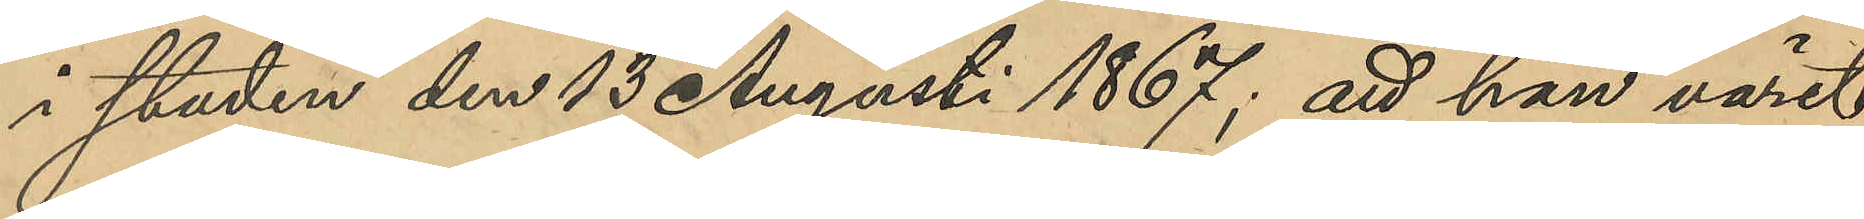i staden den 13 Augusti 1867; att han varit
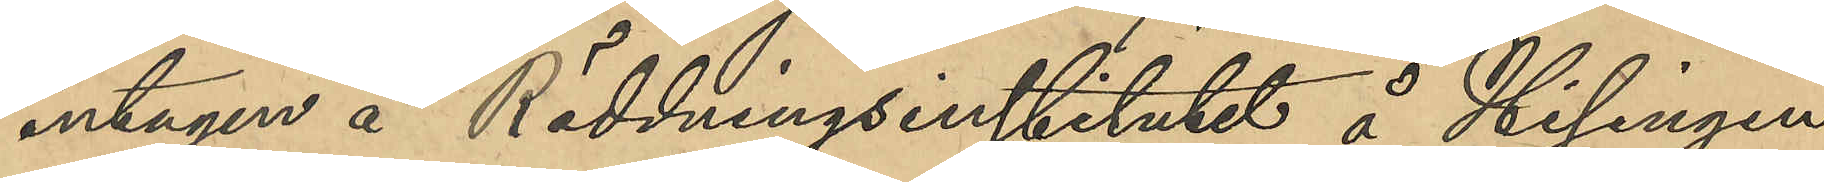intagen å Räddningsinstitutet å Hisingen
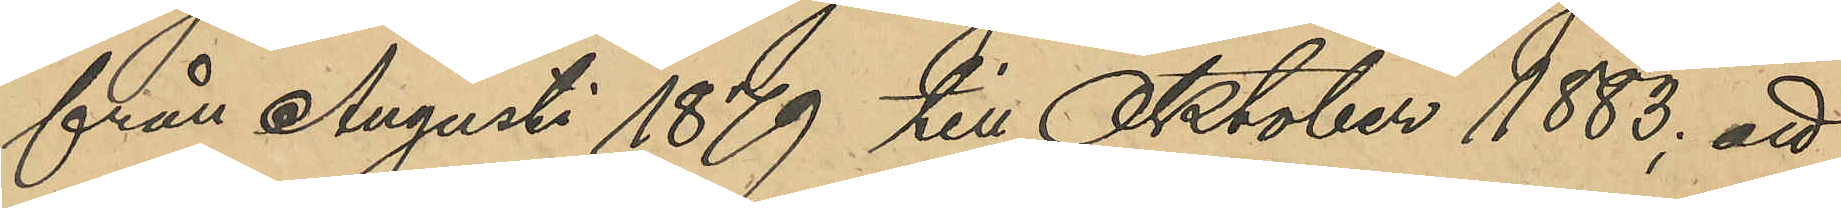från Augusti 1879 till Oktober 1883; att
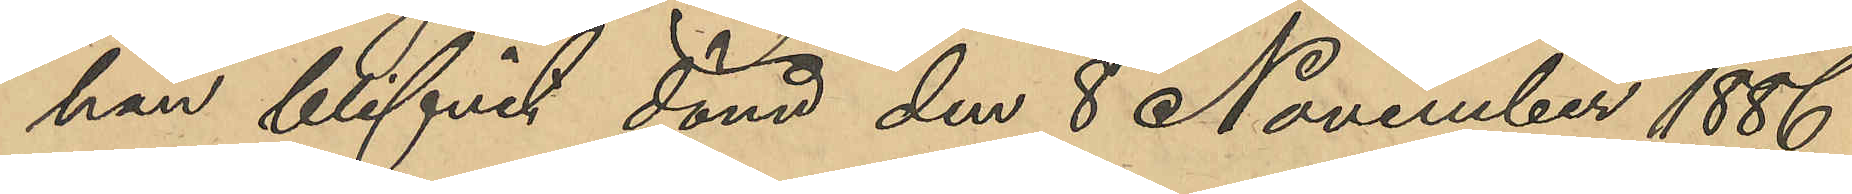han blifvit dömd den 8 November 1886
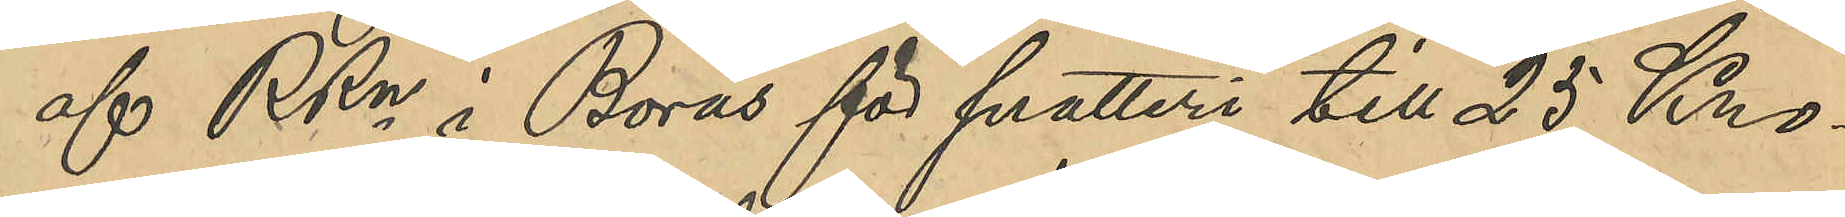af RRn i Borås för snatteri till 25 Kro¬
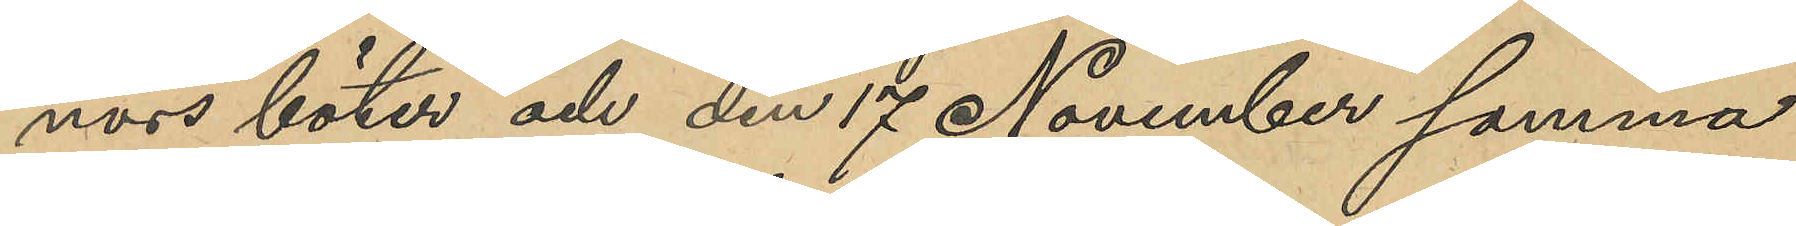nors böter och den 17 November samma
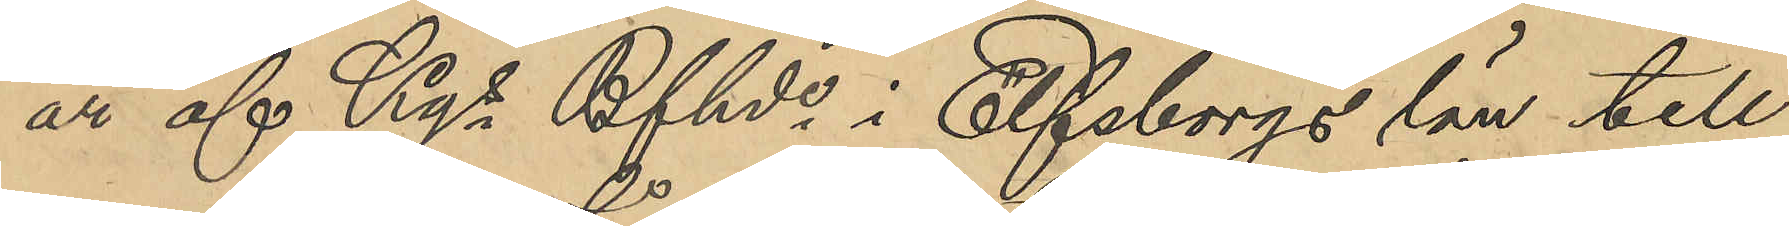år af Kgs Bfhde i Elfsborgs län till
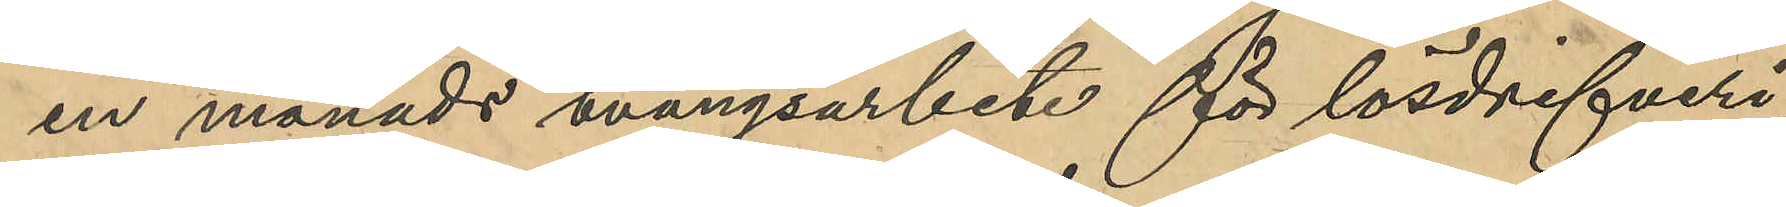en månads tvångsarbete för lösdrifveri;
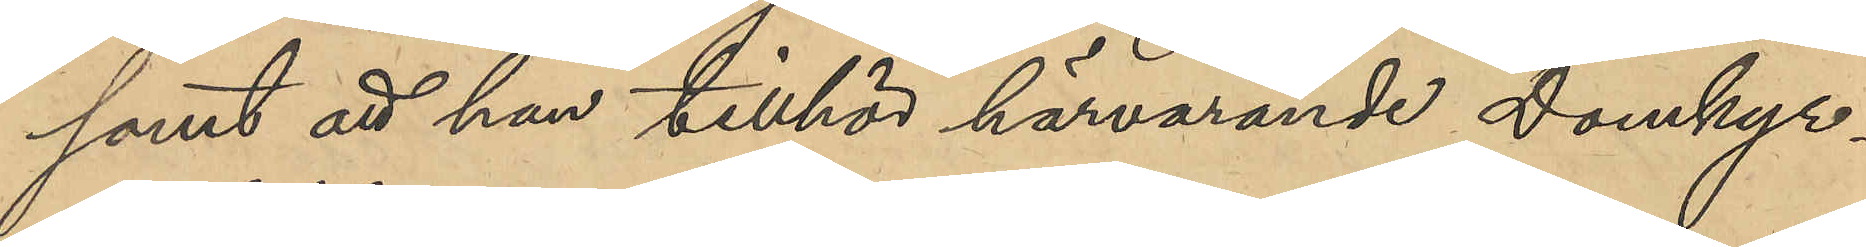samt att han tillhör härvarande Domkyr¬
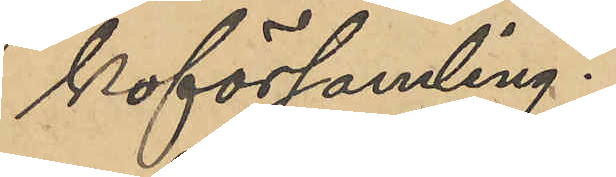koförsamling.
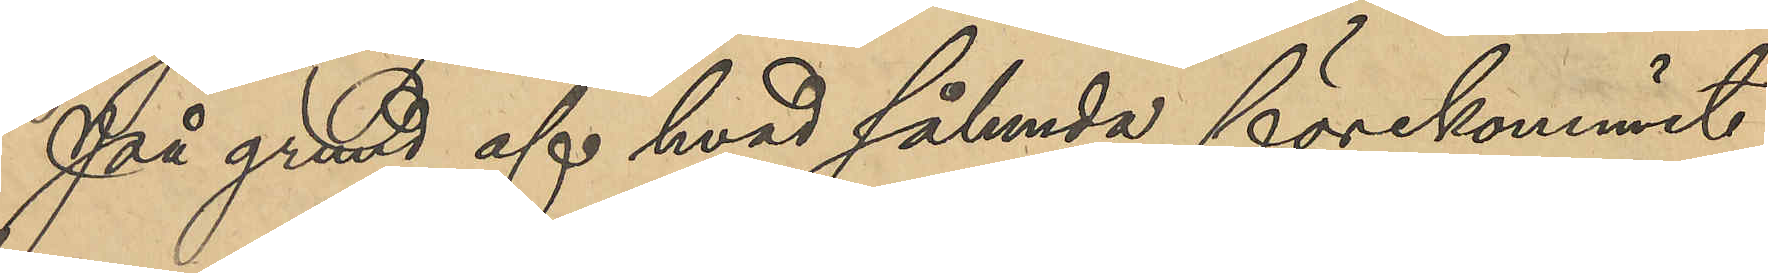På grund af hvad sålunda förekommit
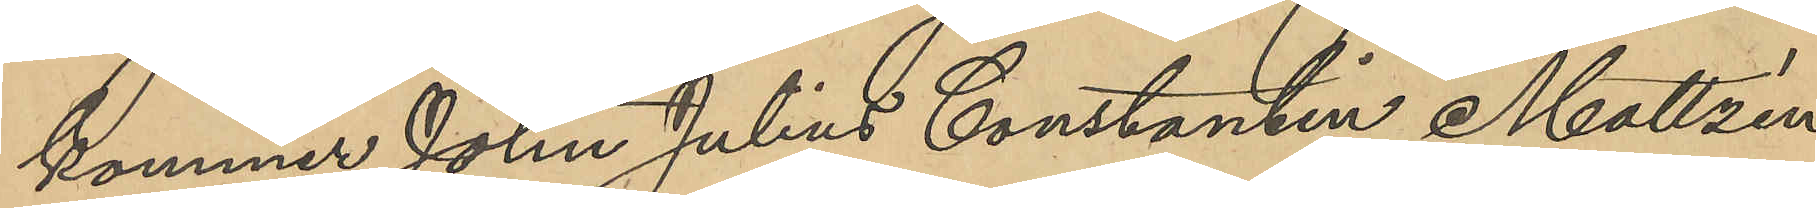kommer John Julius Constantin Mattzén
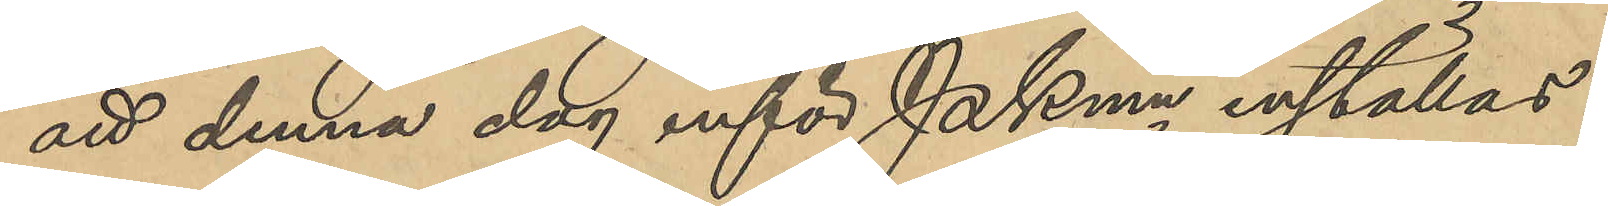att denna dag inför PKmn inställas.
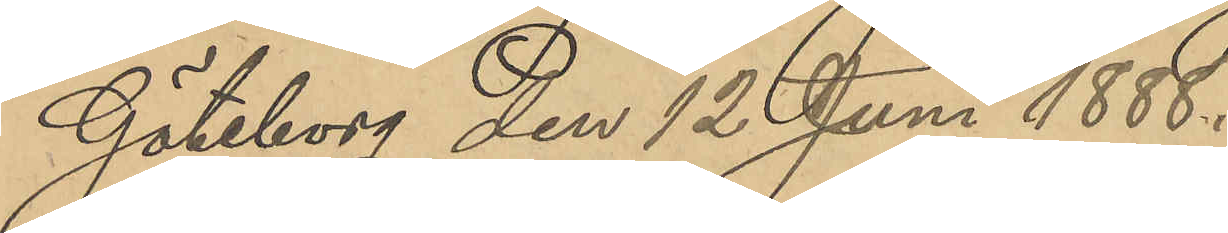Göteborg den 12 Juni 1888.
